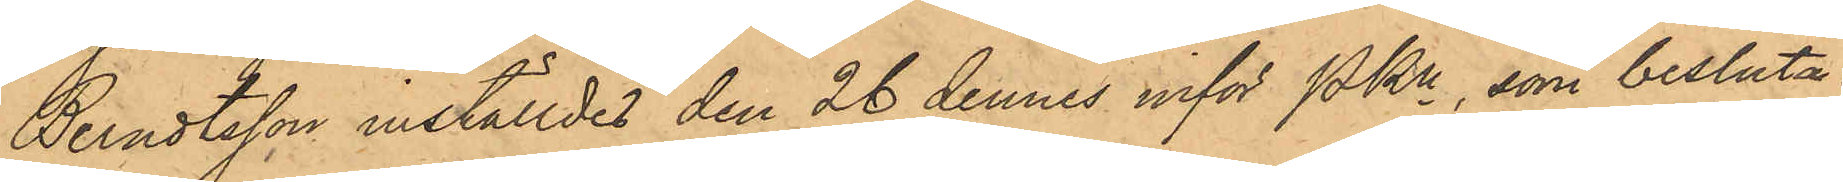Berndtsson inställdes den 26 dennes inför PKn, som besluta-
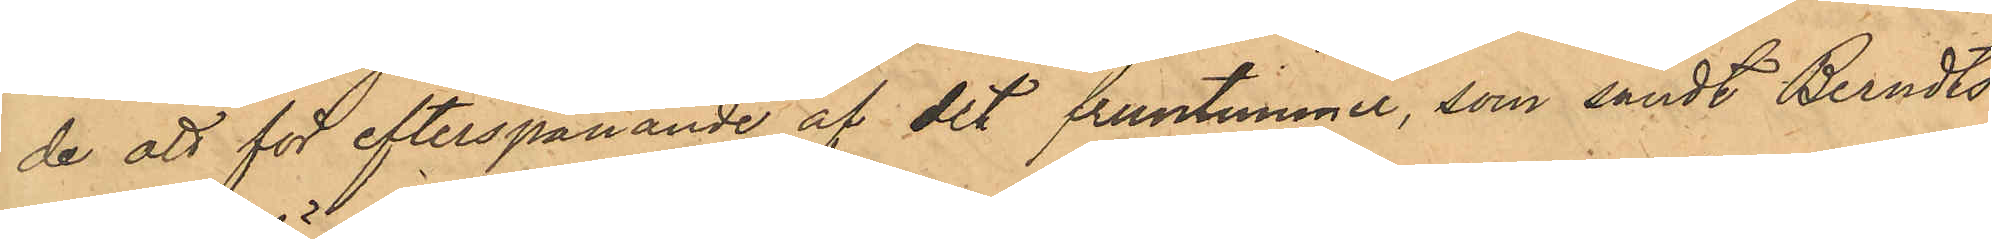de att för efterspanande af det fruntimmer, som sändt Berndts¬
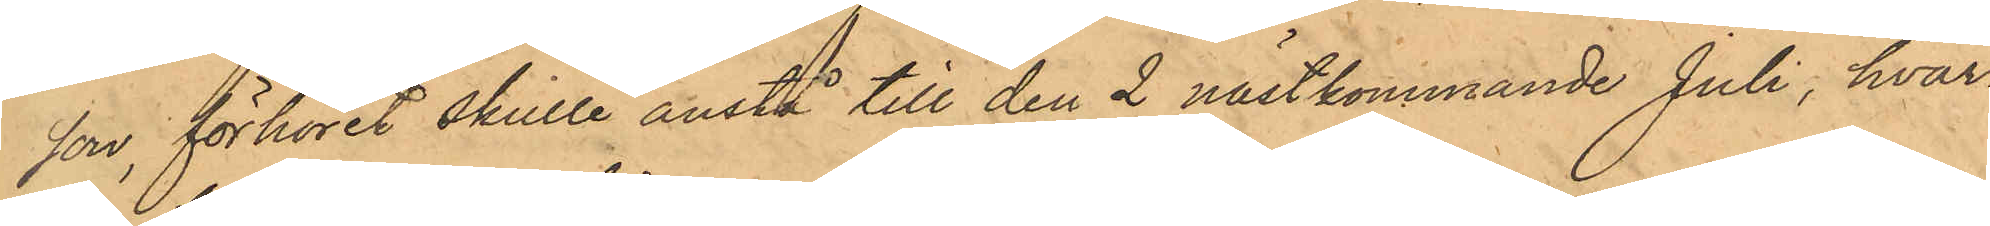son, förhöret skulle anstå till den 2 nästkommande Juli, hvar¬
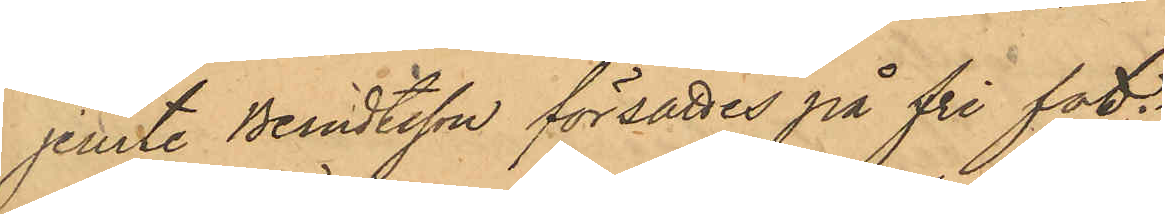jemte Berndtsson försattes på fri fot.
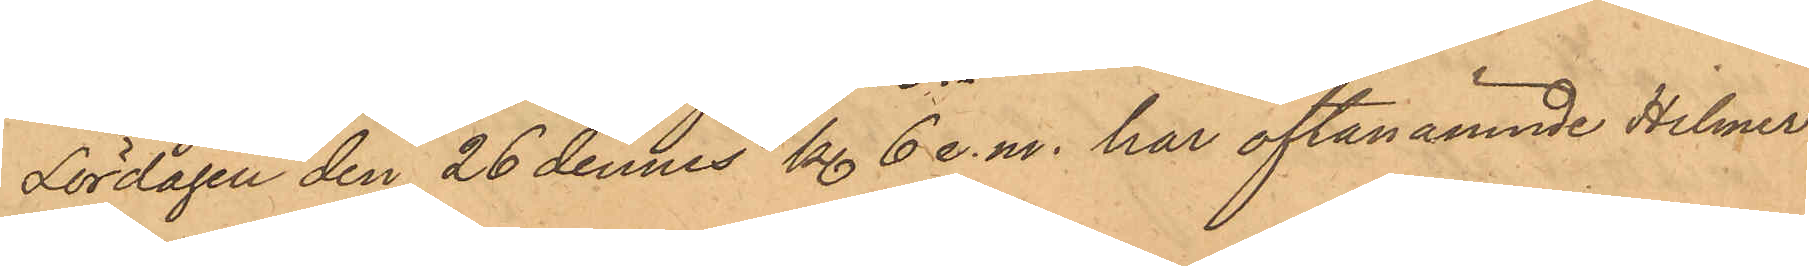Lördagen den 26 dennes kl. 6 e.m. har oftanämnde Helmer
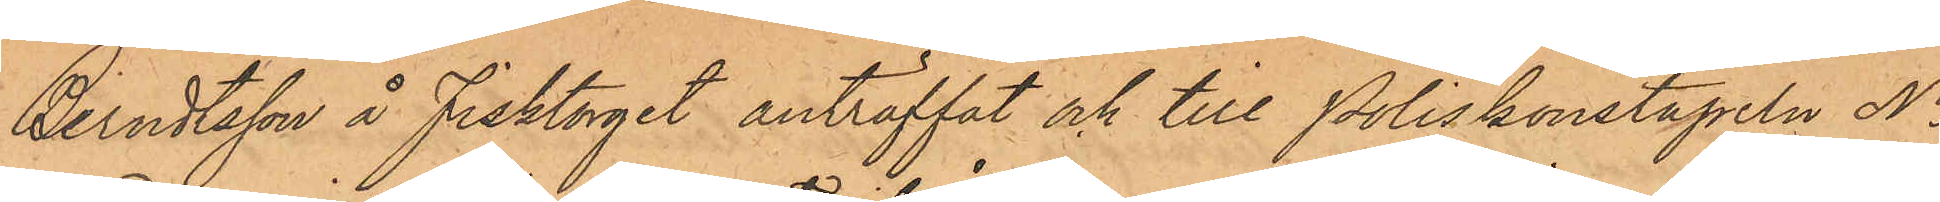Berndtsson å Fisktorget anträffat och till Poliskonstapeln No
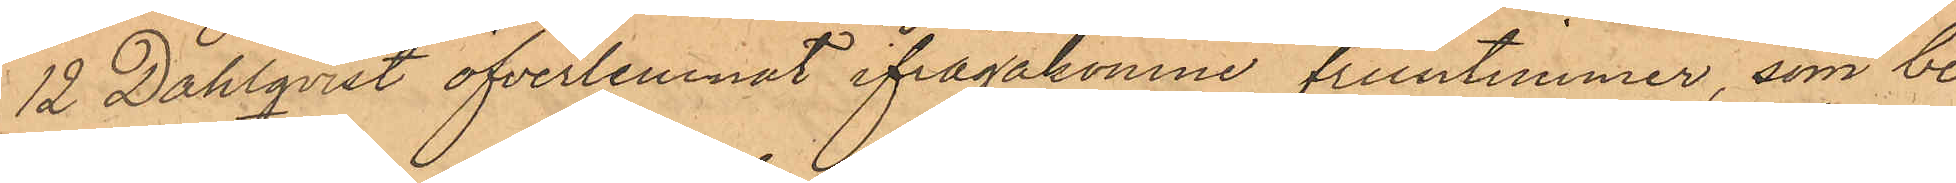12 Dahlqvist öfverlemnat ifrågakomne fruntimmer, som be¬
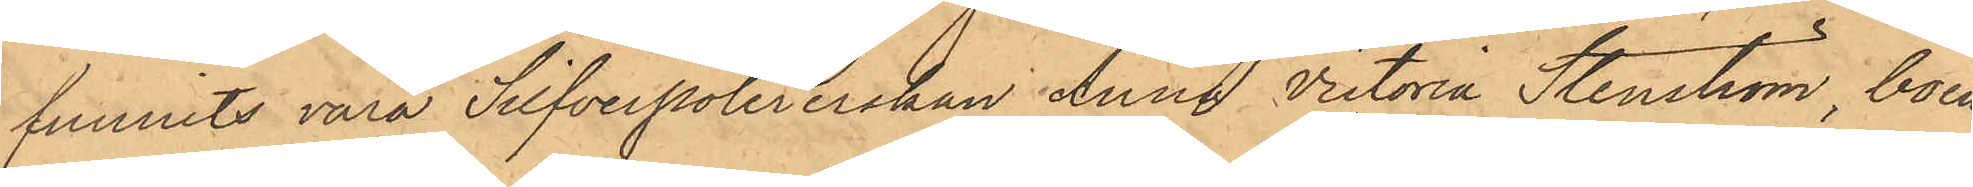funnits vara Silfverpolererskan Anna Victoria Stenström, boen¬
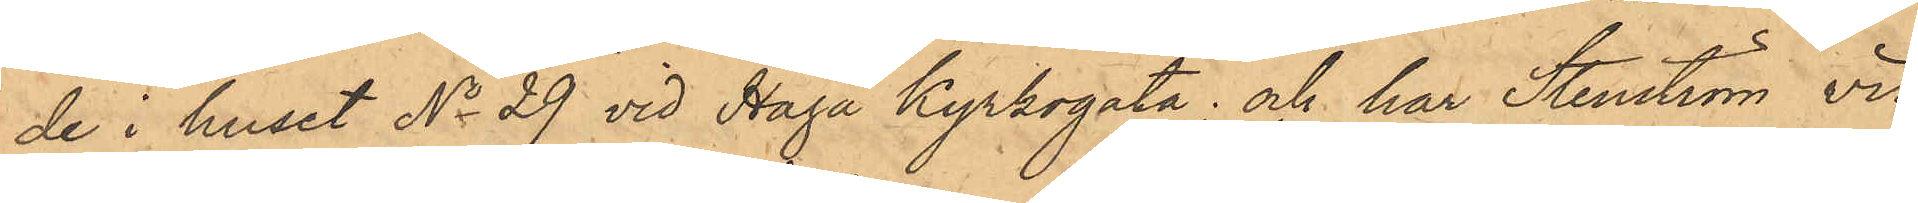de i huset No 29 vid Haga Kyrkogata; och har Stenström vid
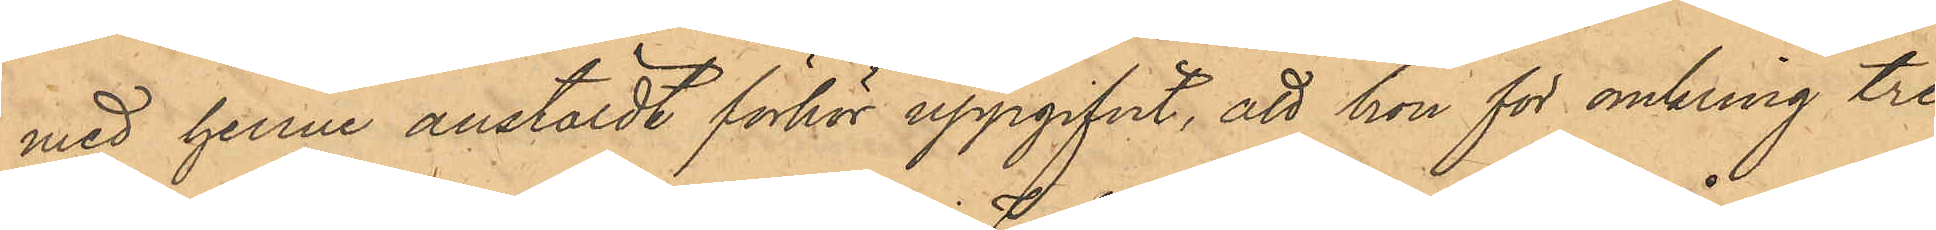med henne anstäldt förhör uppgifvit, att hon för omkring tre
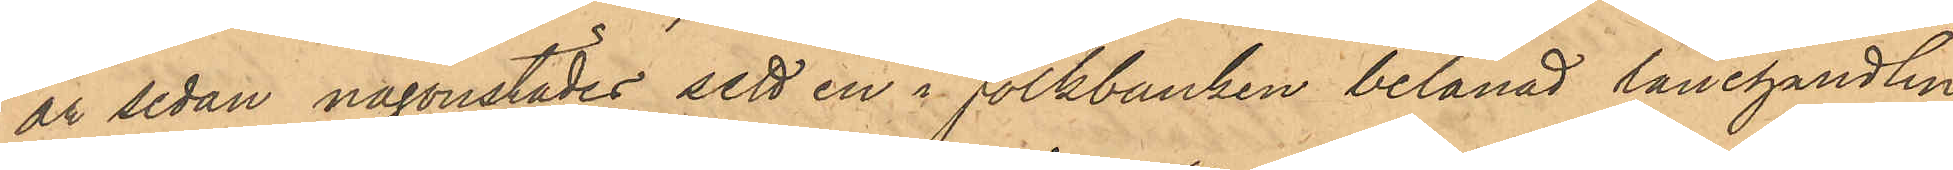år sedan någonstädes sett en i Folkbanken belånad lånehandling
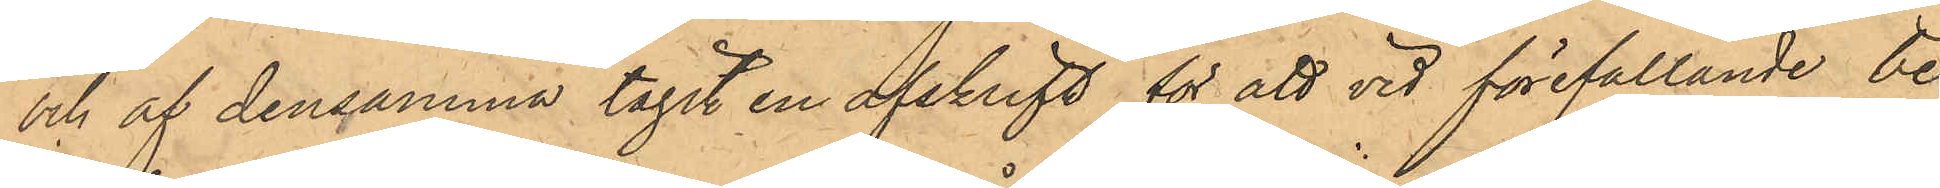och af densamma tagit en afskrift för att vid förefallande be¬
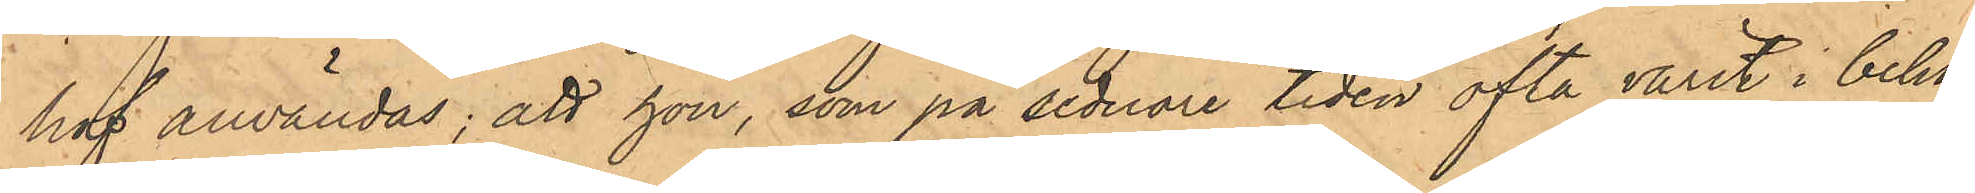hof användas; att hon, som på sednare tiden ofta varit i behof
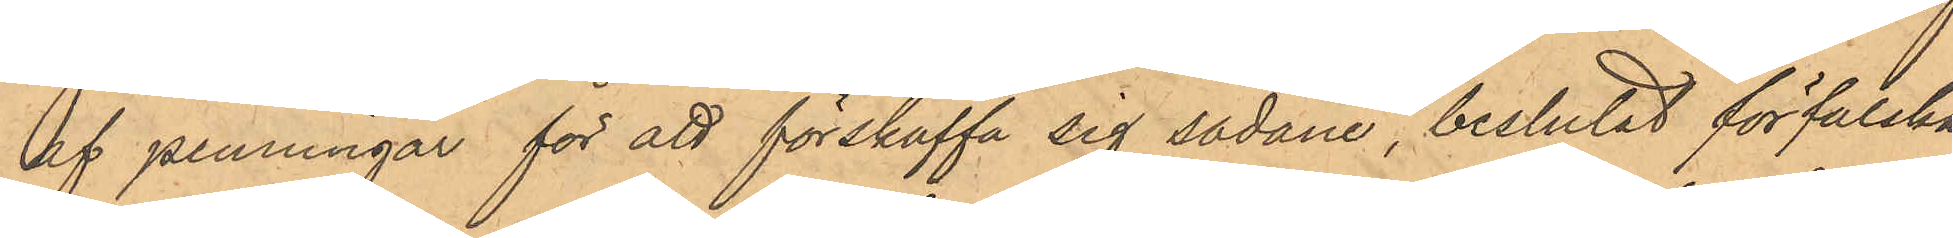af penningar för att förskaffa sig sådane, beslutat förfalska
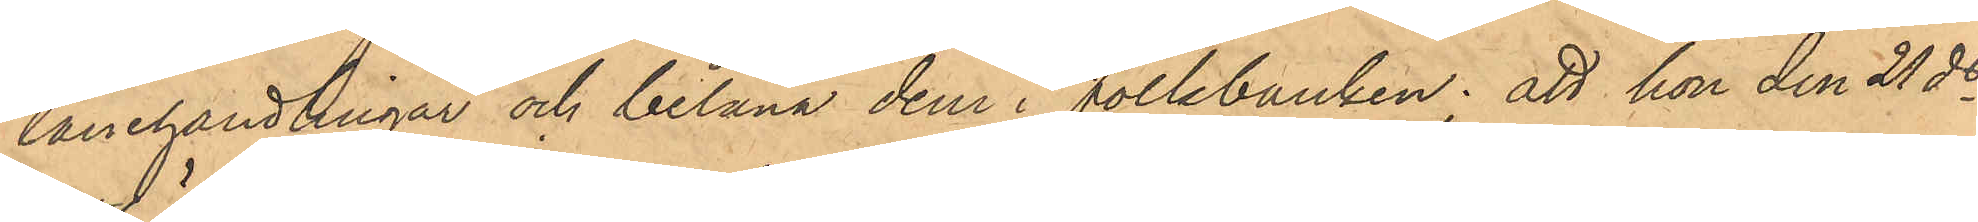lånehandlingar och belåna dem i Folkbanken; att hon den 21 ds
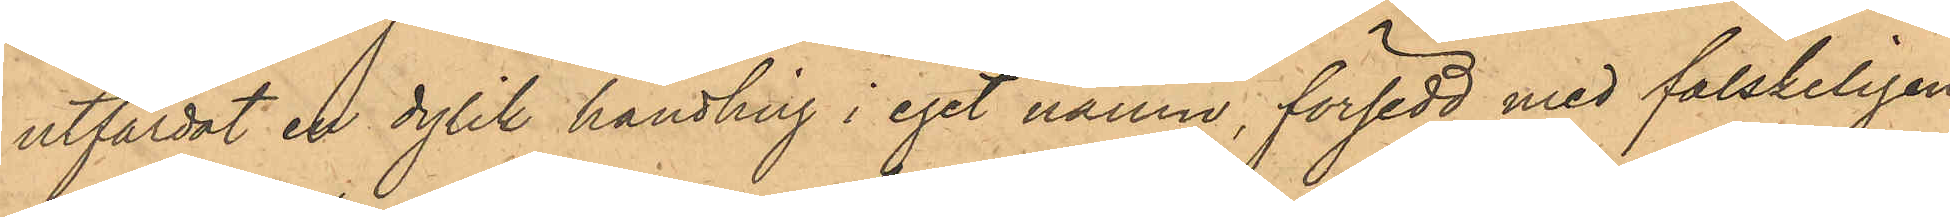utfärdat en dylik handling i eget namn, försedd med falskeligen
